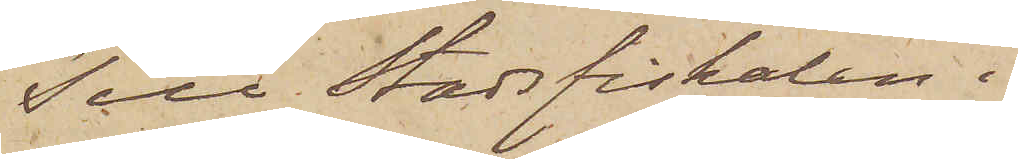Till Stadsfiskalen i
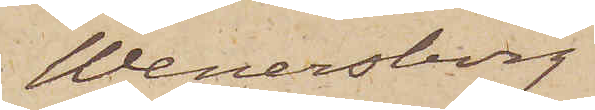Wenersborg
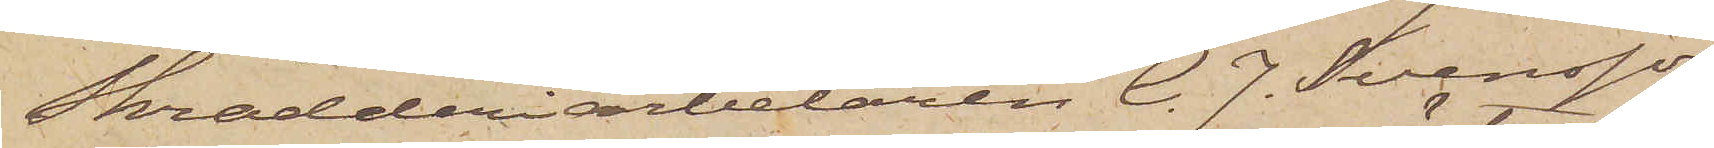Skrädderiarbetaren C. J. Svensson,
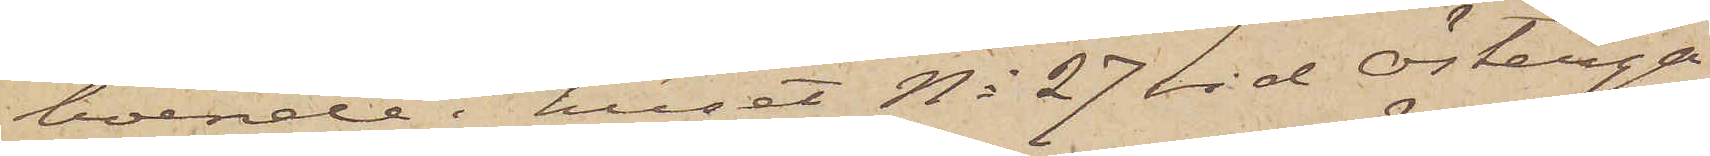boende i huset No 27 vid Österga¬
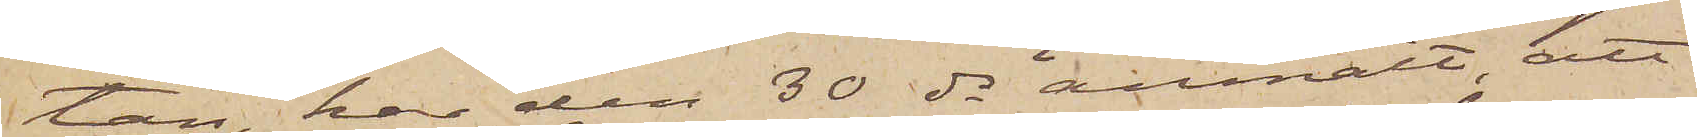tan, har den 30 ds anmält, att
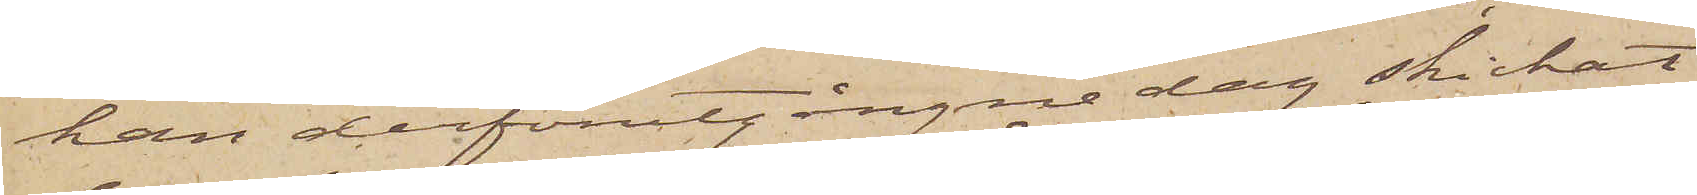han derförutgångne dag skickat
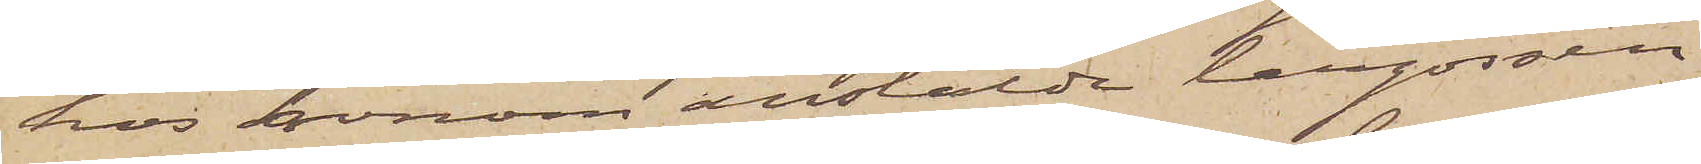hos honom anstälde lärgossen
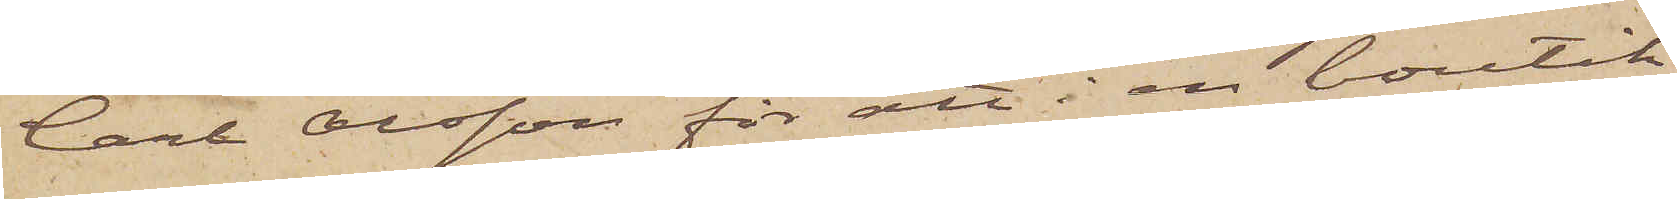Carl Olsson för att i en boutik
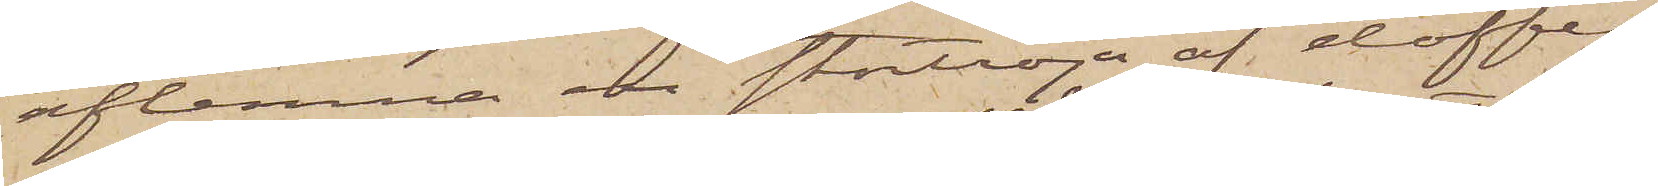aflemna en stortröja af doffel
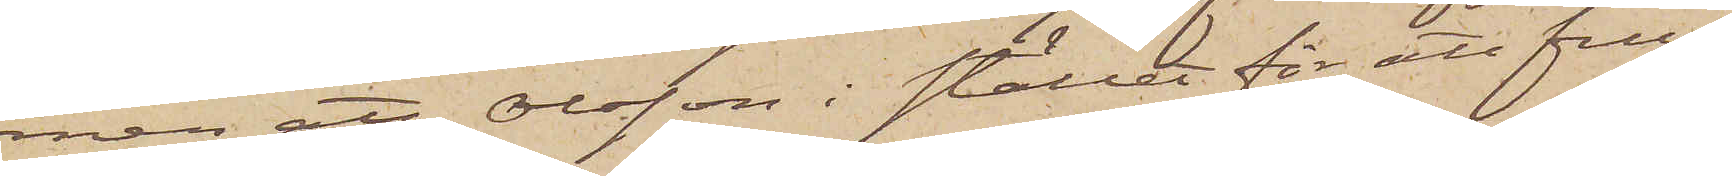men att Olsson i stället för att full¬
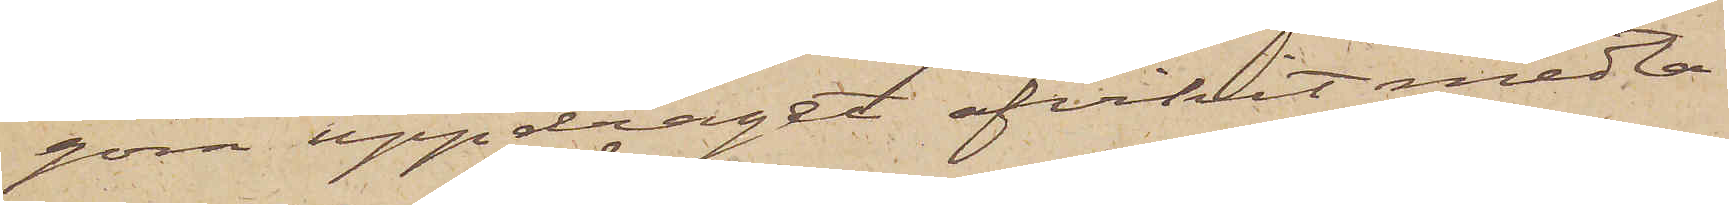göra uppdraget afvikit medta¬
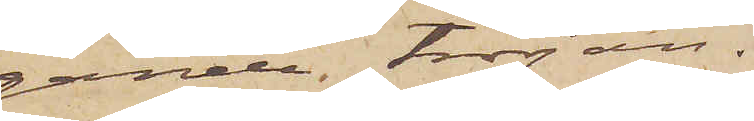gande tröjan.
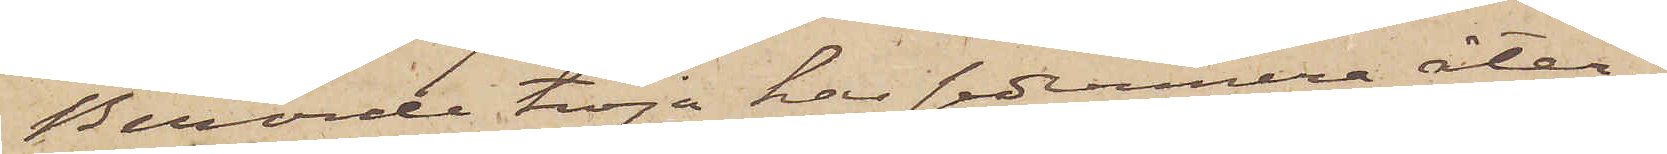Berörde tröja har sedermera åter¬
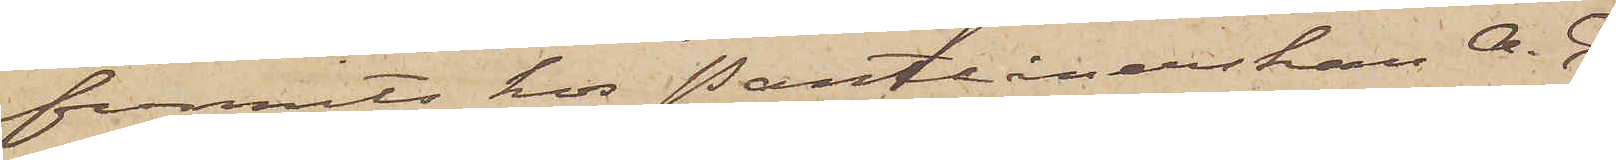funnits hos Pantlånerskan A. C.
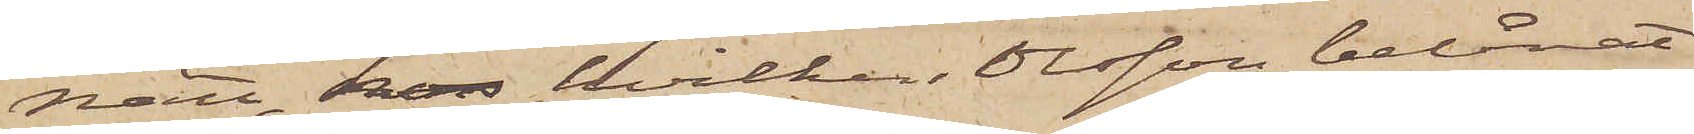Nätt, hos hvilken Olsson belånat
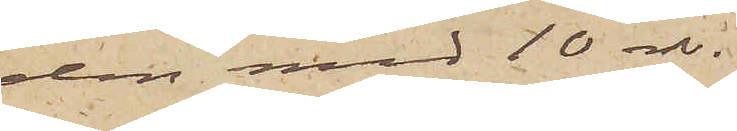den med 10 rdr.
